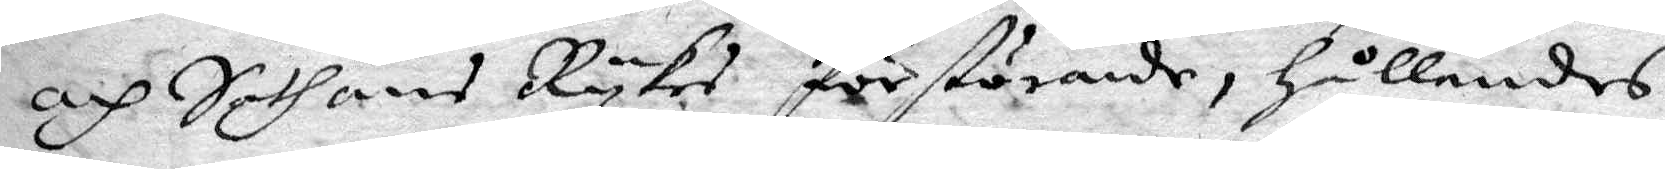och Sathans Rykes förstörande, hållandes
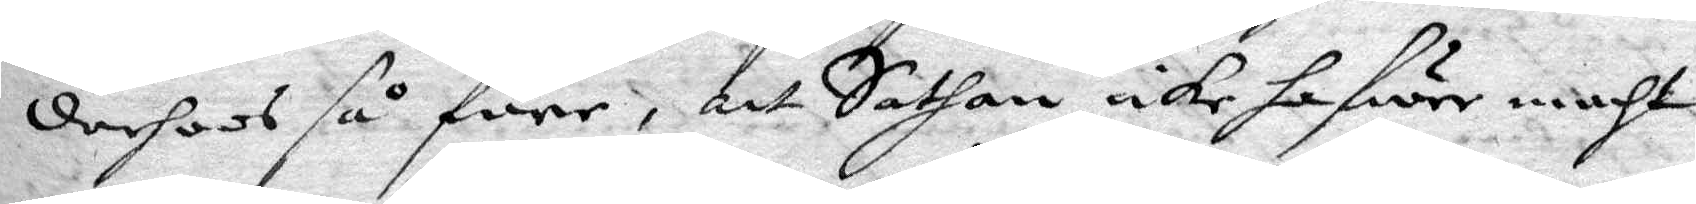derhoos så före, att Sathan icke hafwer maht
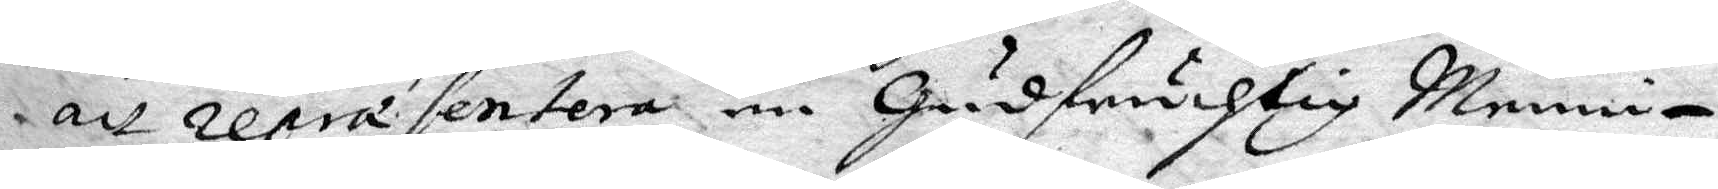att repræsentera en Gudfruchtig Menni¬
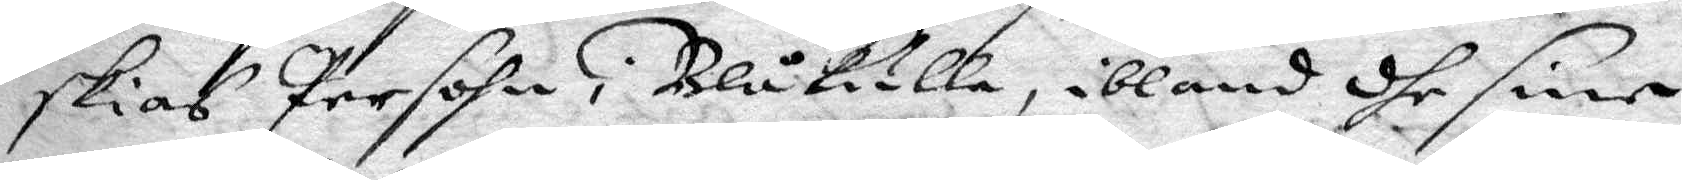skias Persohn i Blåkulla, ibland dhe sine
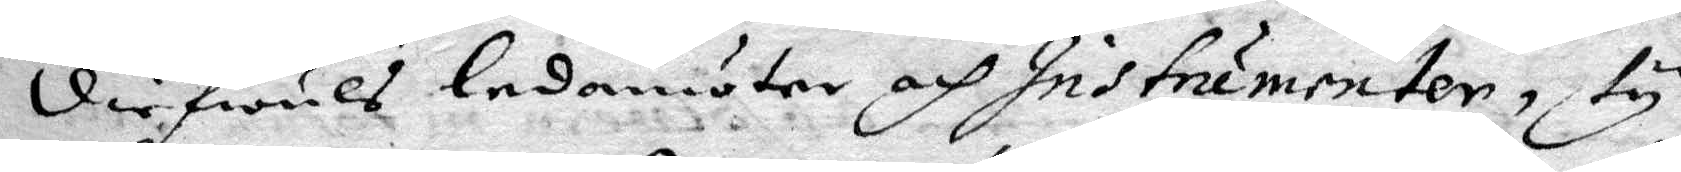diefwuls ledamöter, och Instrumenter, ty
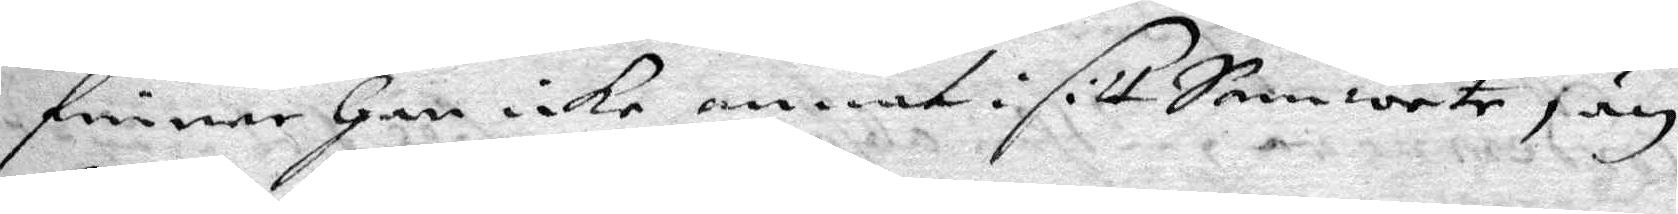finner han icke annat i sitt Samwete, än
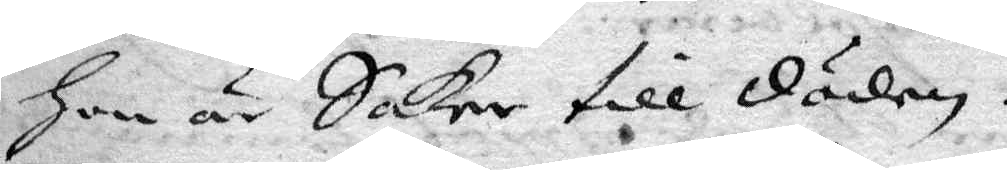hon är Saker till döden.
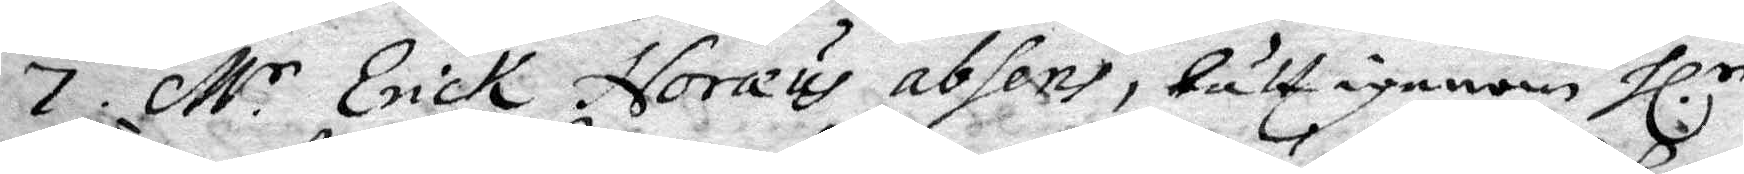7. M.r Erick Noræus absens, lätt igenom hl:r
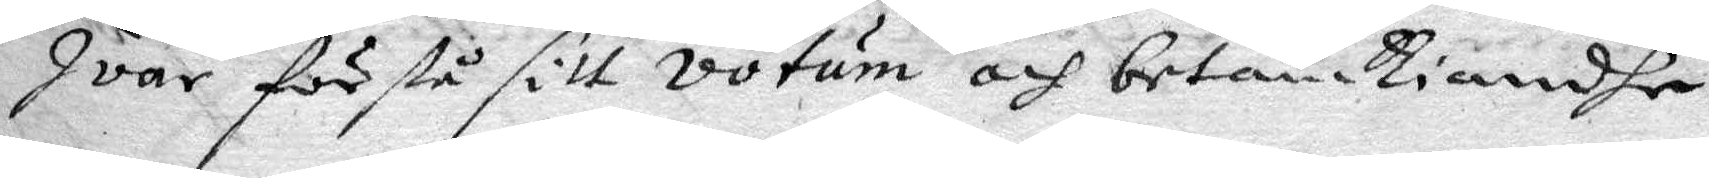Ivar förstå sitt votum och betänkiandhe
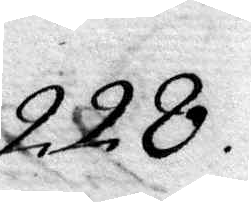228.
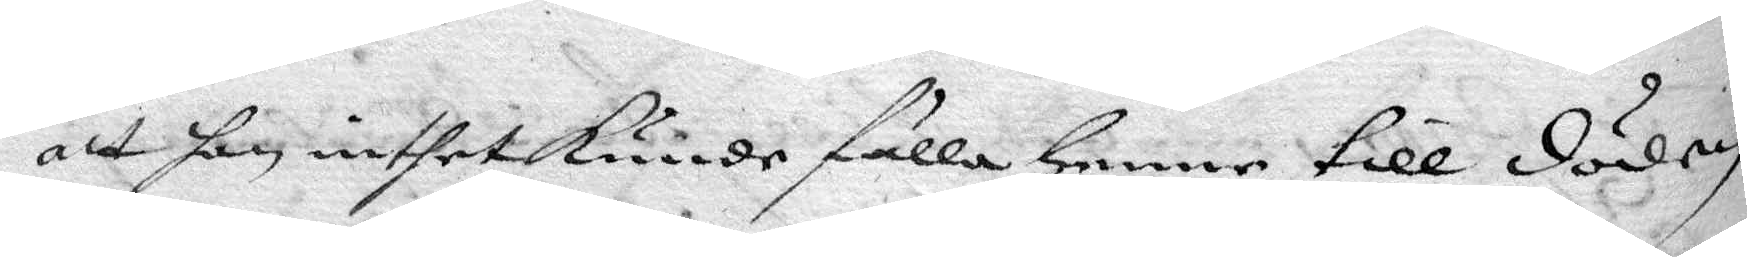att han inthet kunde fälla henne till döden.
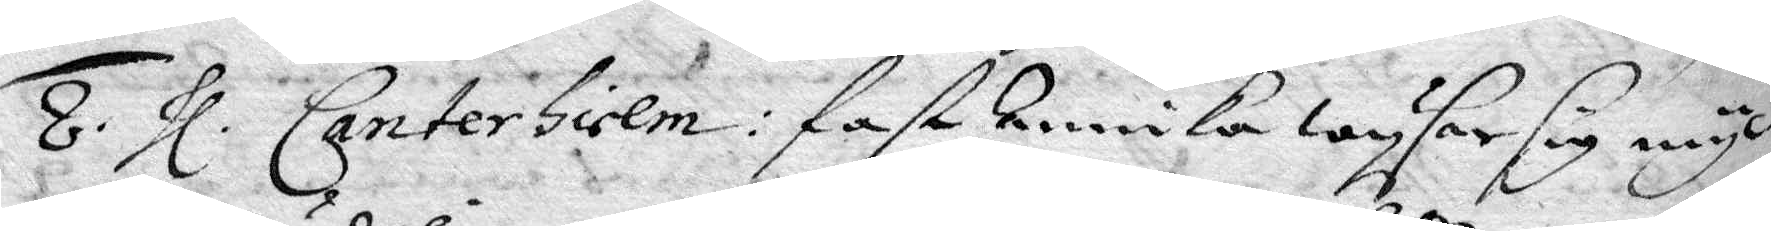8. hl. Canterhielm: fast Annika wysar sig myc¬
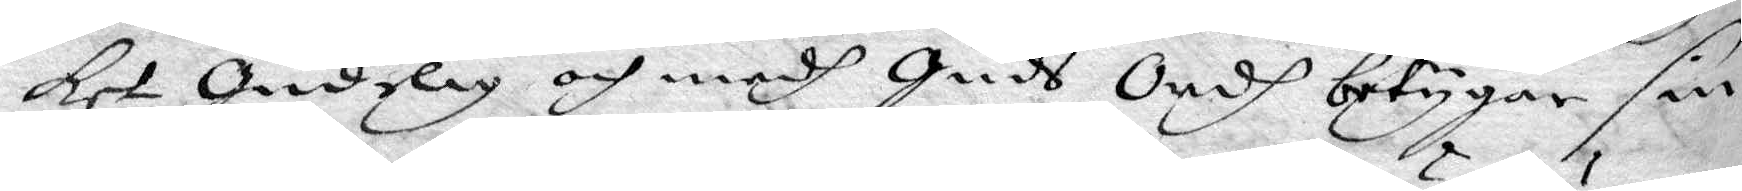ket gudelig och medh guds Ordh betygar sin
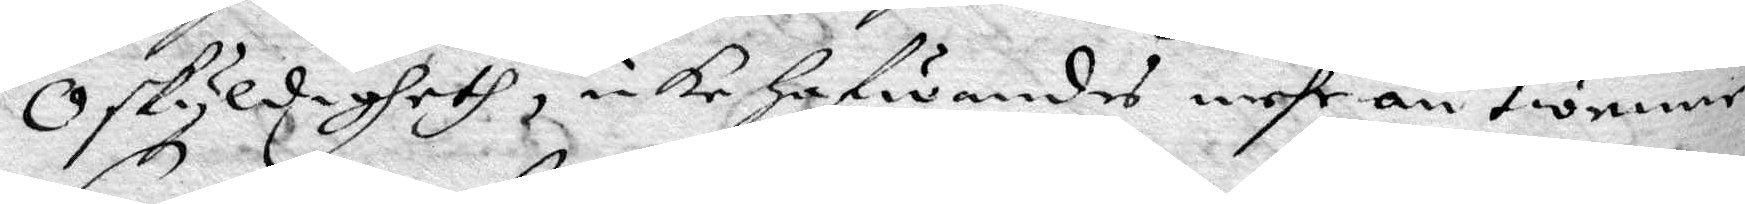Oskyldigheth, icke hafwandes mehr än twenne
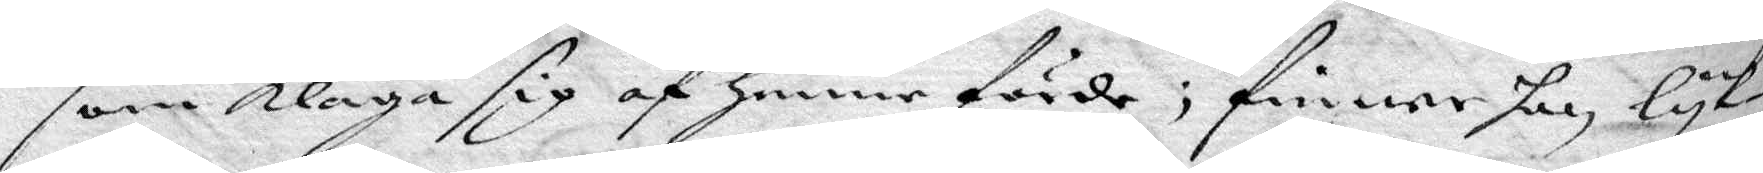som klaga sig af henne förde; finner han lyk¬
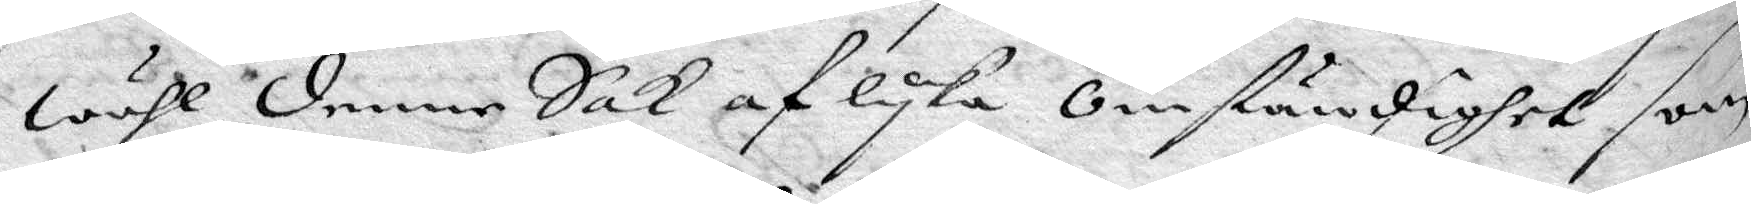wähl denne Sak af lyka Omständighet som
